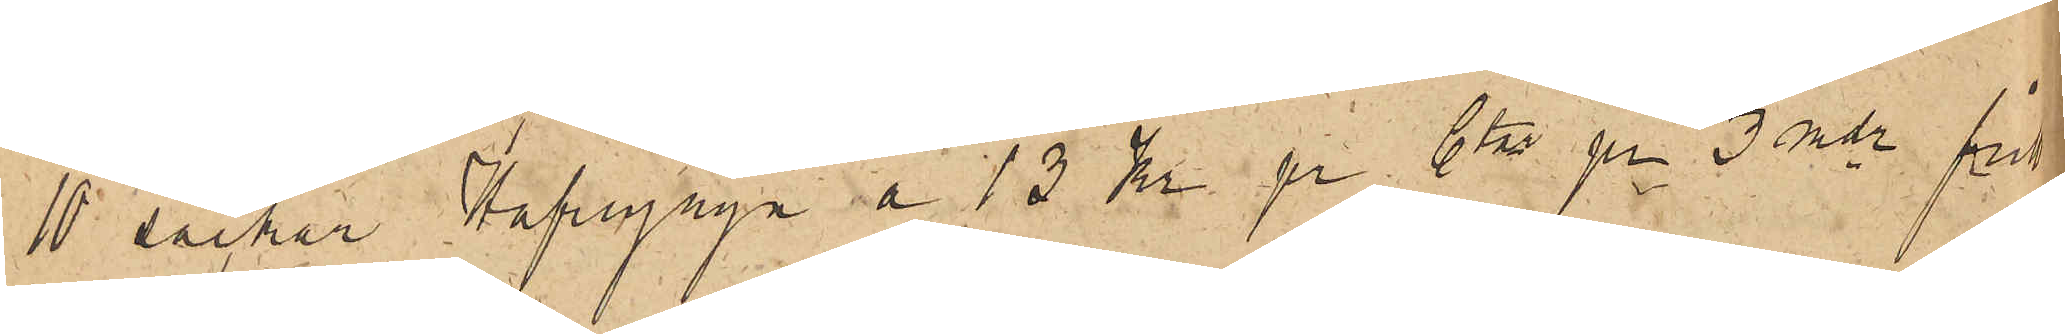10 säckar Hafregryn a 13 Kr pr Ctr pr 3 mdr fritt
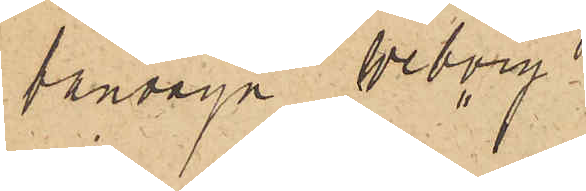banvagn Weborg.
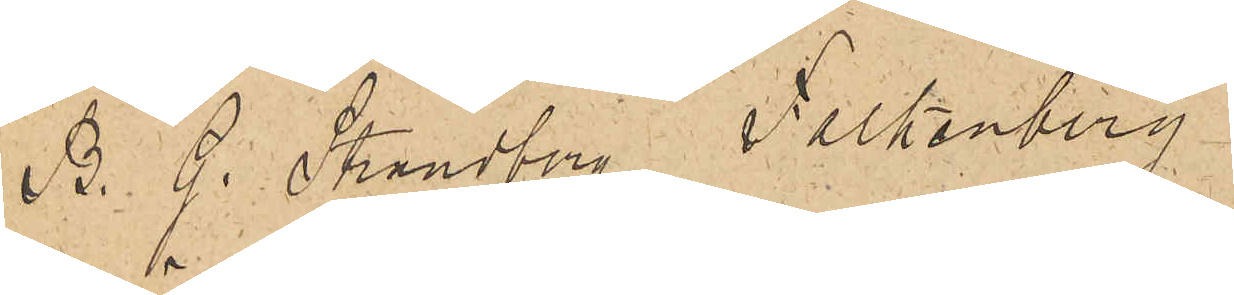B. G. Strandberg Falkenberg
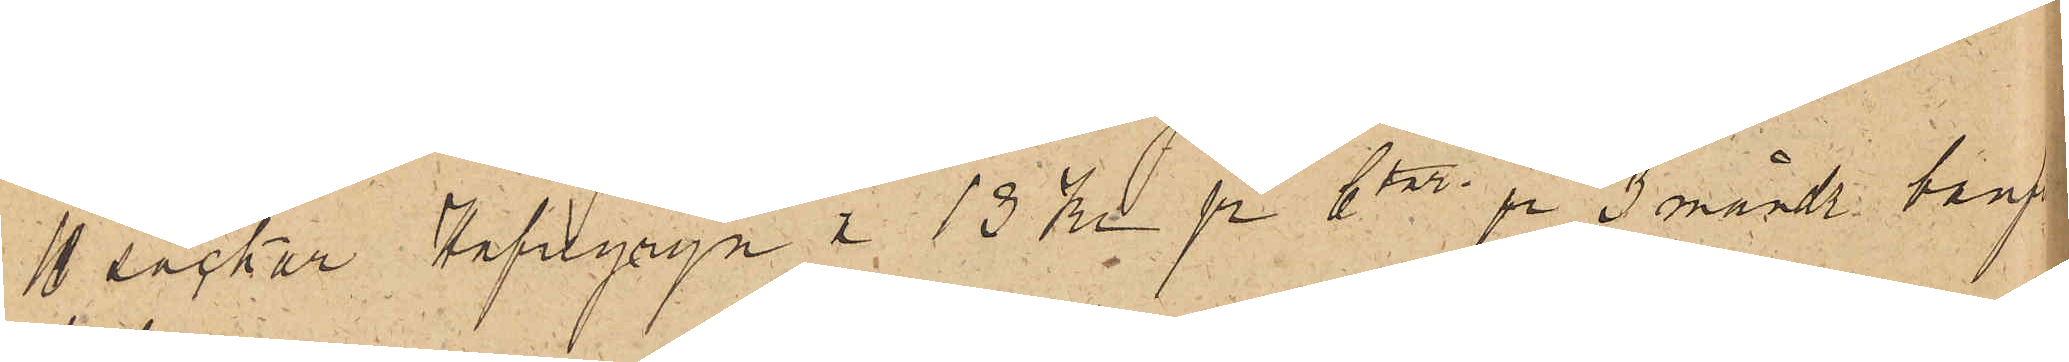10 säckar Hafregryn a 13 Kr pr Ctr pr 3 måndr banvagn
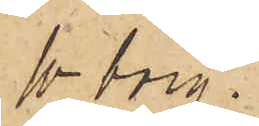W-borg.
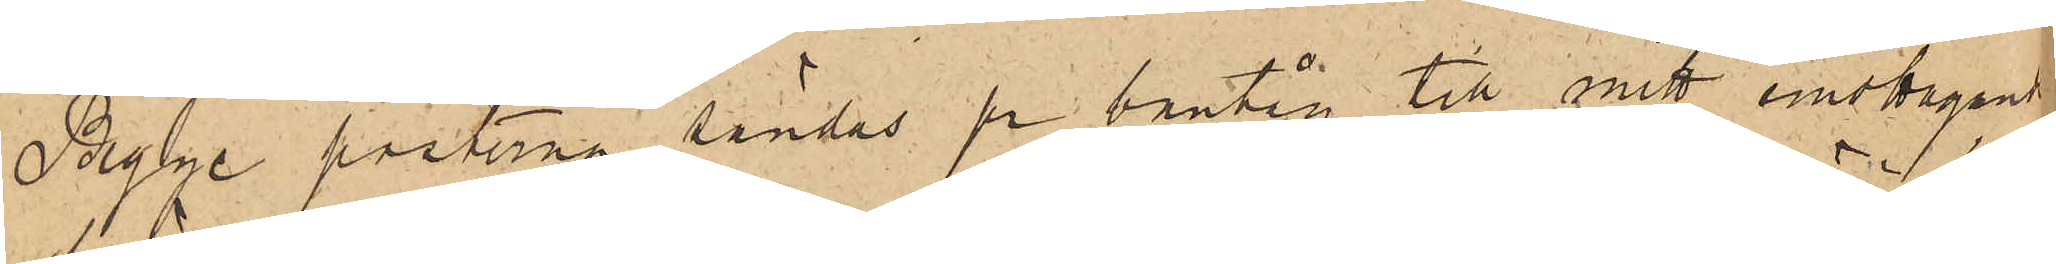Begge posterna sändes på bantåg till mitt emottagande
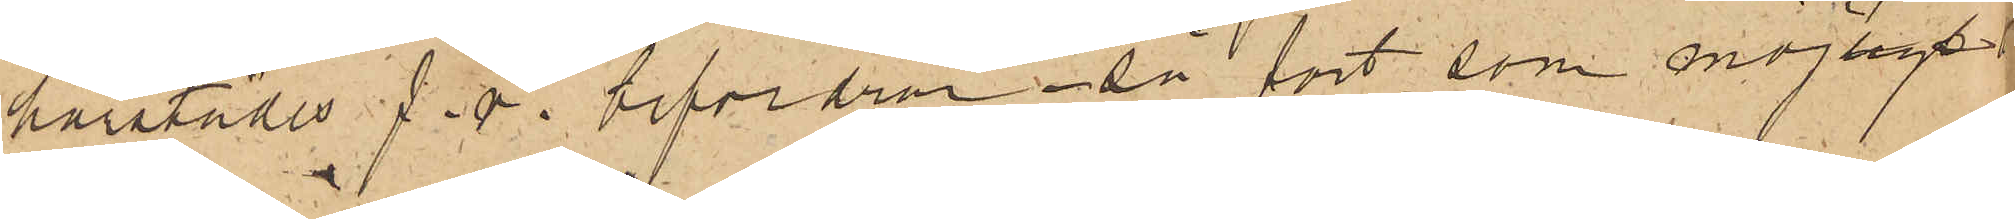härstädes f. v. befordran så fort som möjligt.
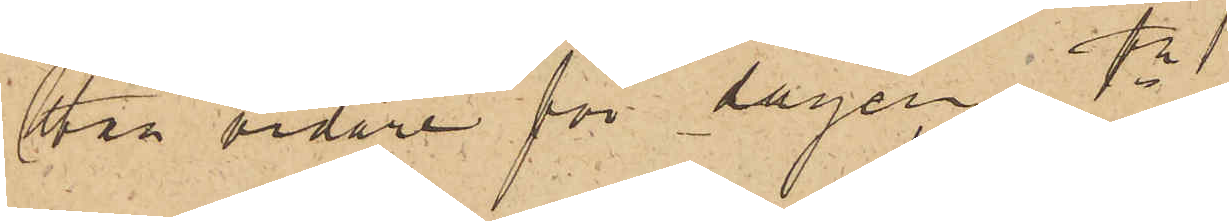Utan vidare för dagen.
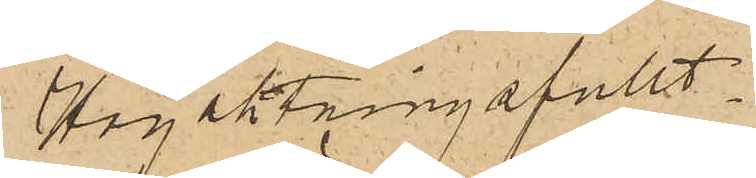Högaktningsfullt.
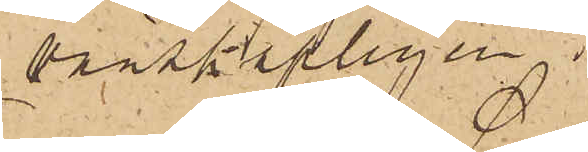vänskapligen
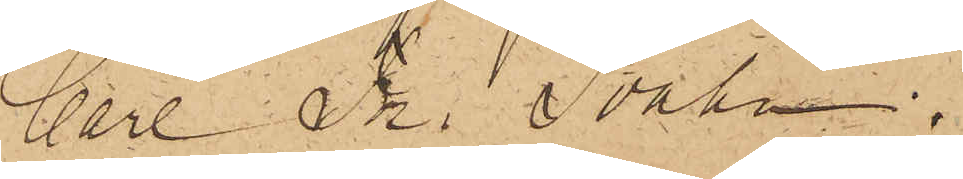Carl Fr. Svahn
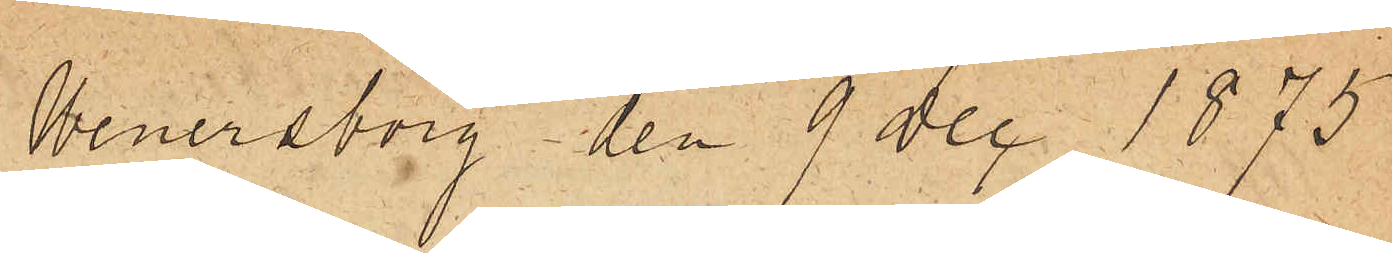Wenersborg den 9 Dec 1875
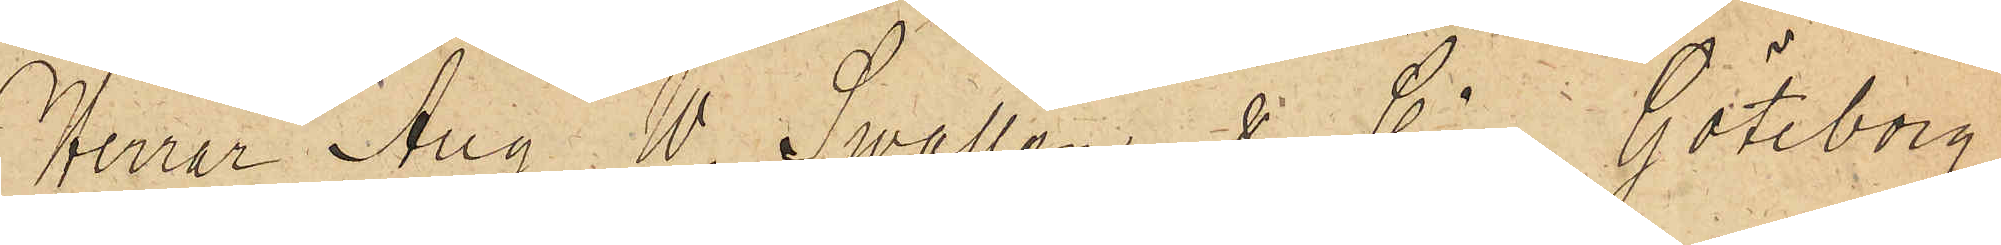Herrar Aug. W. Swallén & Co  Göteborg
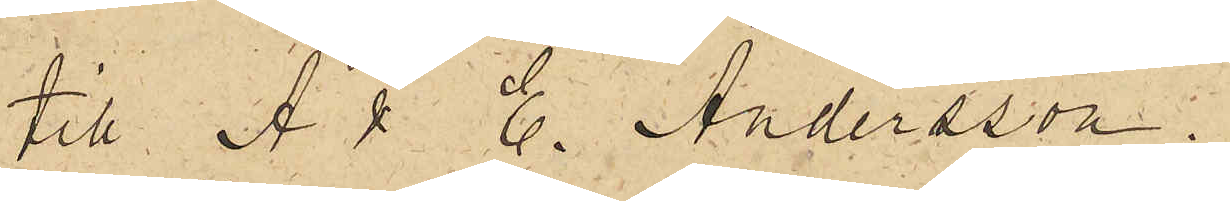till A &. E. Andersson
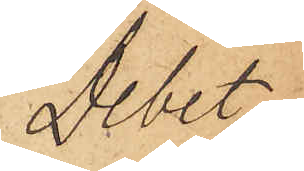Debet.
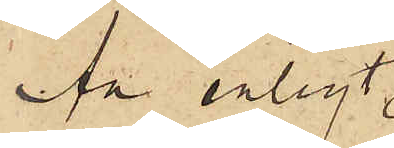An enligt
